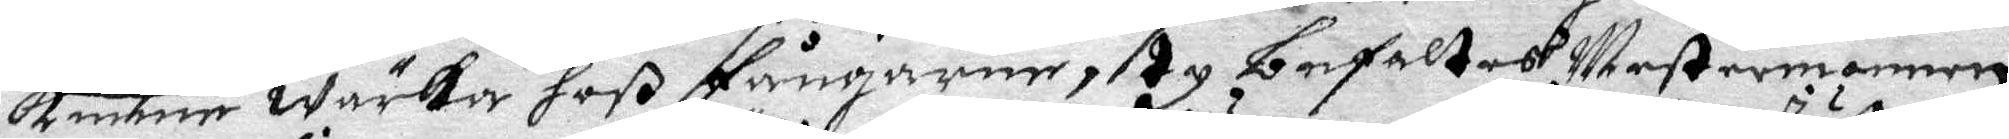kunne wärka hoß fångarne, Ty befaltes Mestermannen
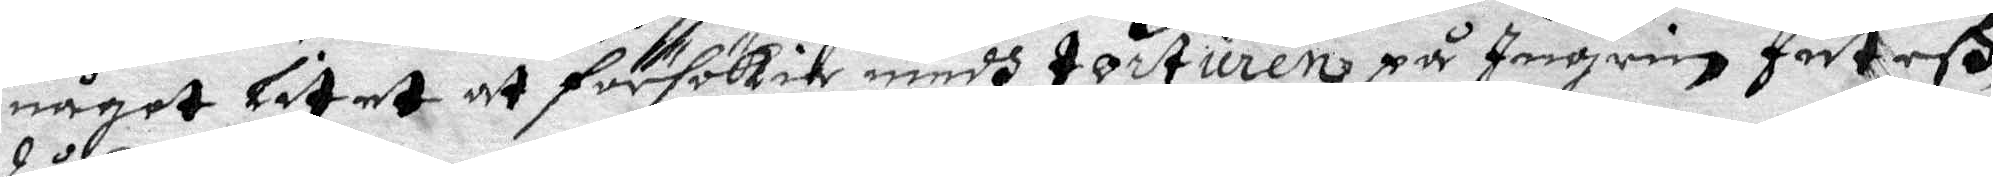något litet at försökia medh torturen på Ingrin Juthes,
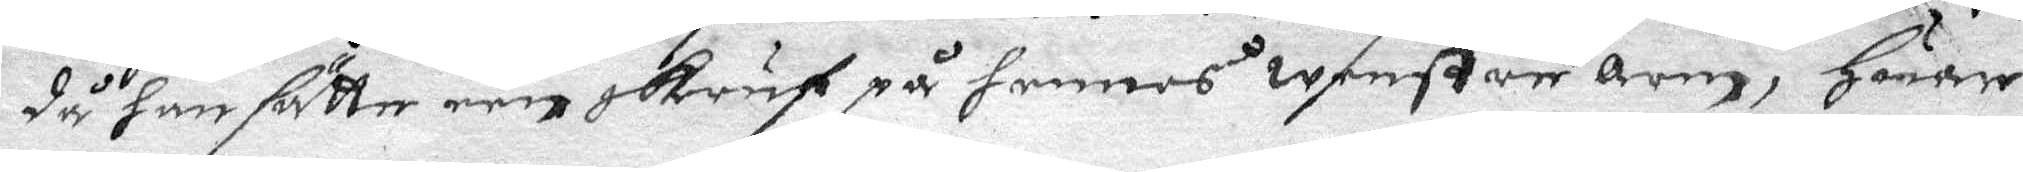då han sutter een skruf på hennes wenstre Arm, Huar
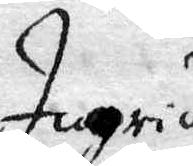Ingrid 
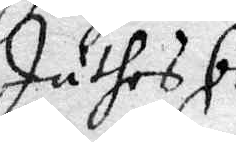Juthes be¬
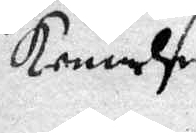kennelse.
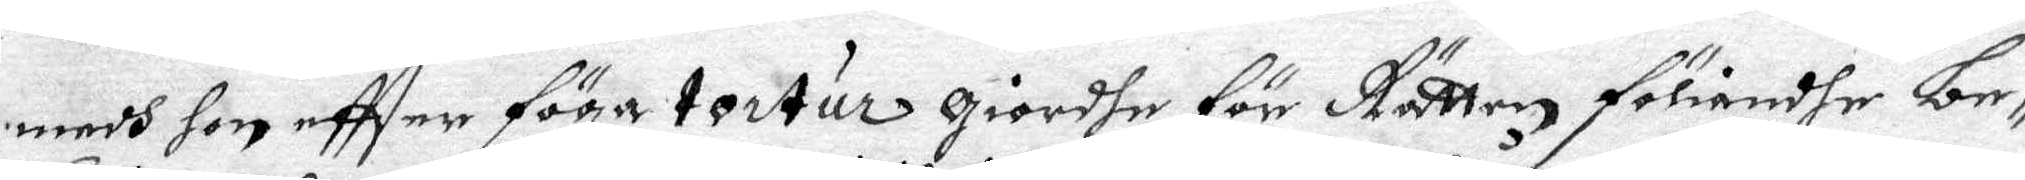medh hon eftter föga tortur giordhe för Rätten föliande be¬
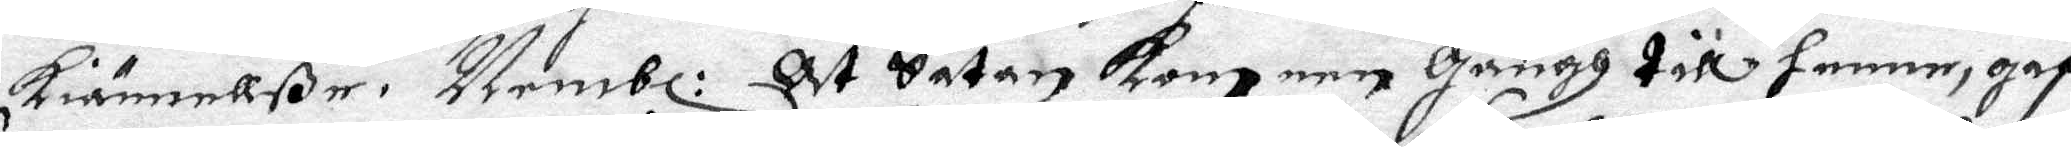kiännellße. Nembl: At Satan kom een Gångh till henne, gaf
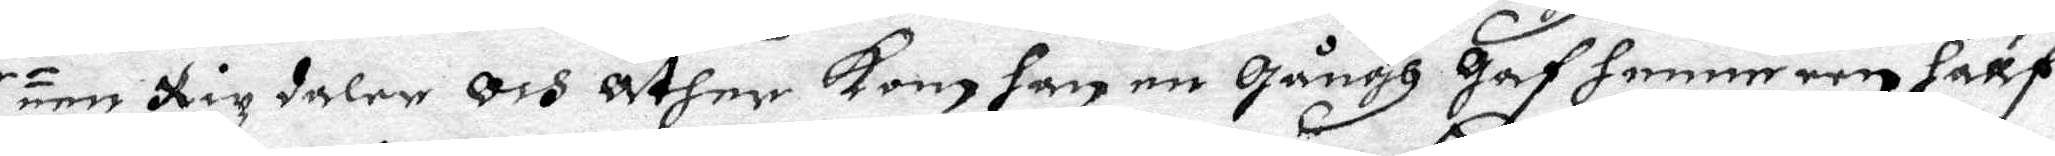een Rixdaler och Åther kom han en Gångh Gaf henne een hallf
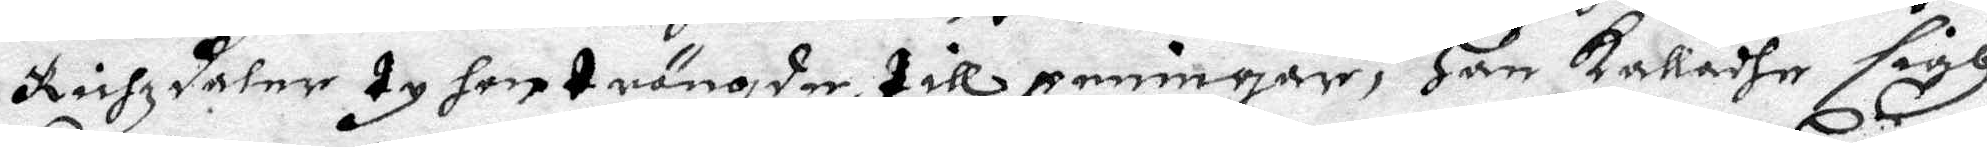Richzdaler ty hon trängder till penningar, Han kalladhe sigh
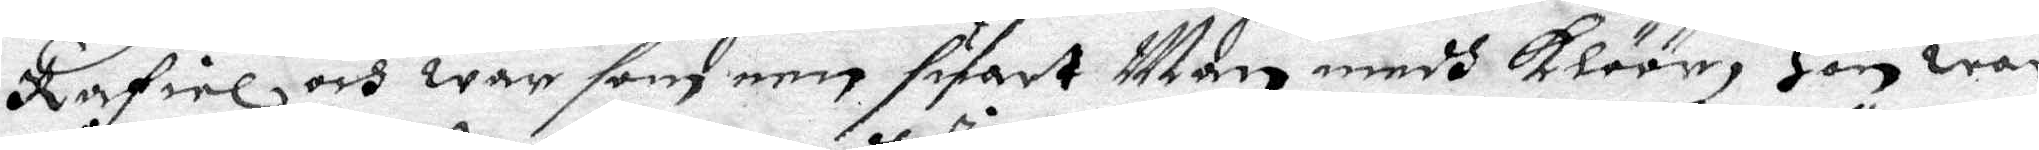Rafiel och war som een suart Man, medh klöör, Hon war
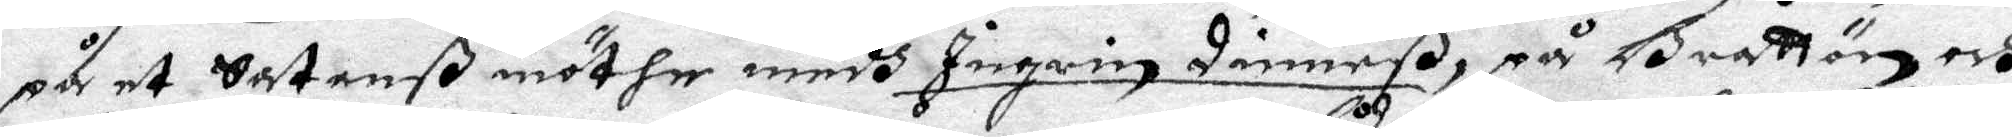på et Satanß möthe medh Ingrin Dimarß på Grattön, och
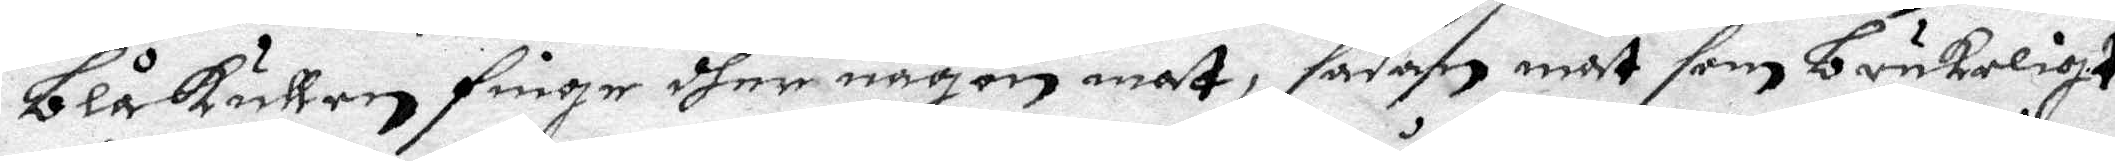blåkullen finge dher någon mat, sådan mat som brukeligt 
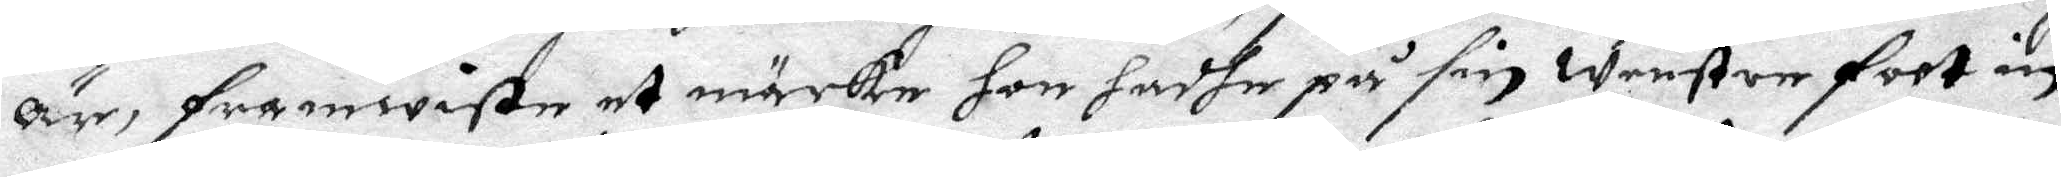är, framwiste et märke hon hadhe på sin wenster foot in¬
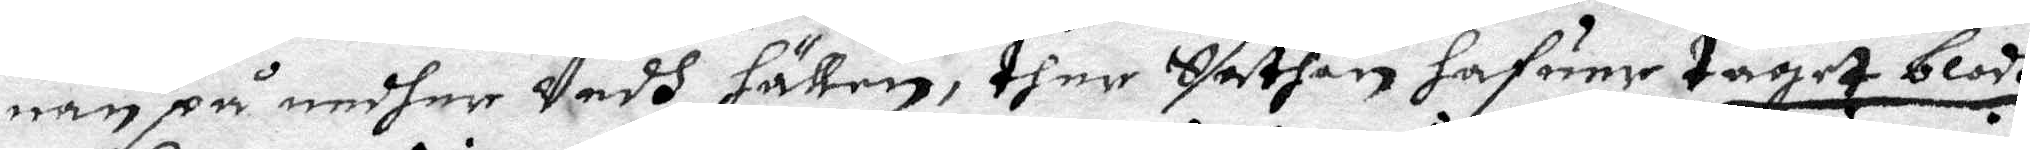nan på nedher Vedh hällen, ther Sathan hafuer taget blodh
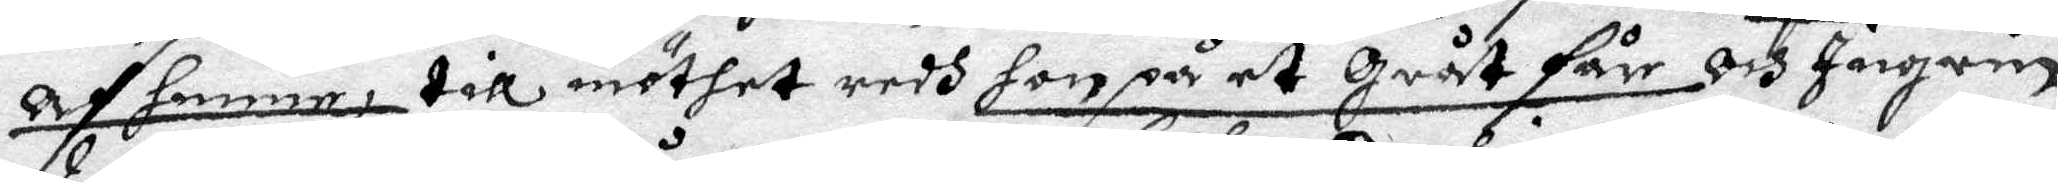Af henne, till möthet redh hon på et Gråt får, och Ingrin
